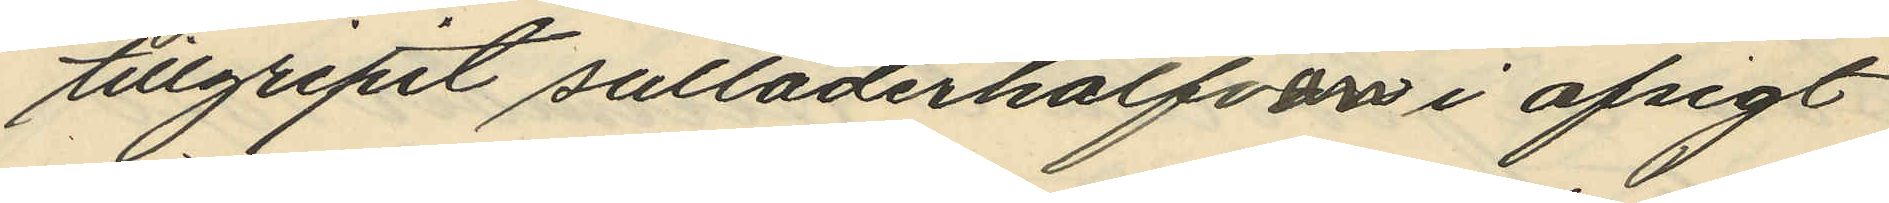tillgripit sulläderhalfvan i afsigt
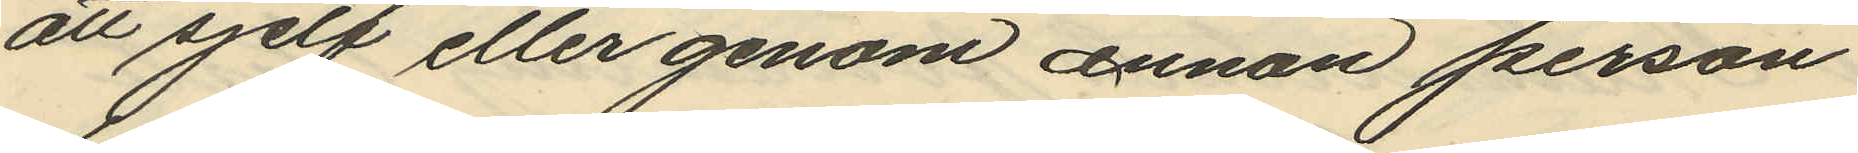att sjelf eller genom annan person
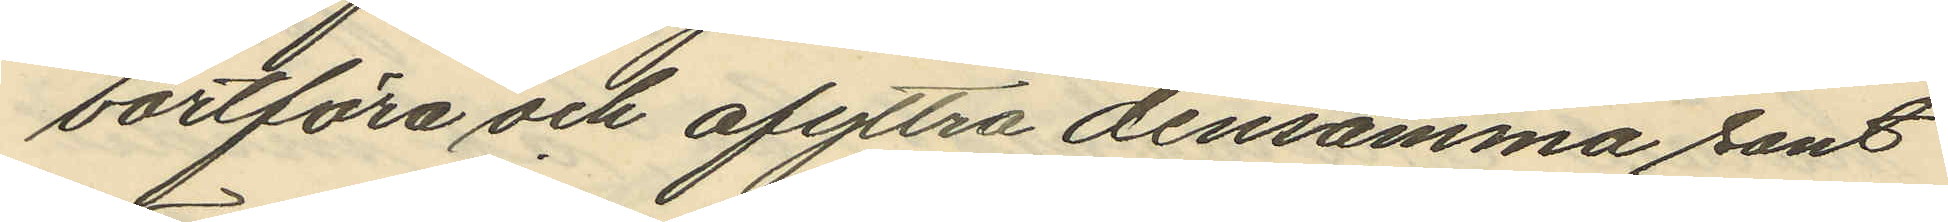bortföra och afyttra densamma samt
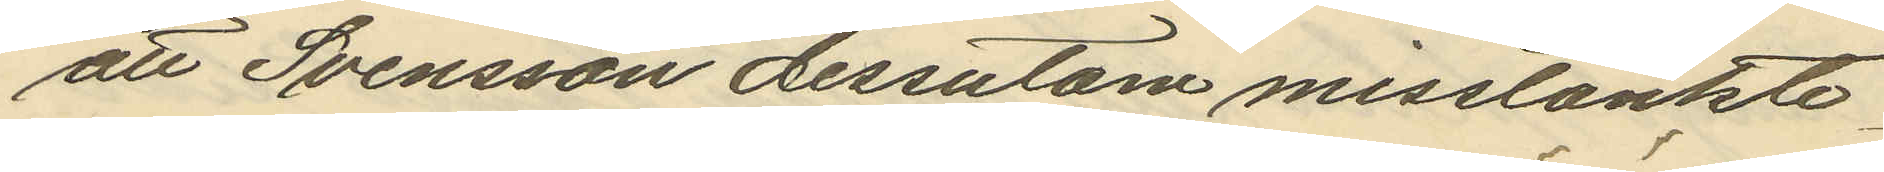att Svensson dessutom misstänkte
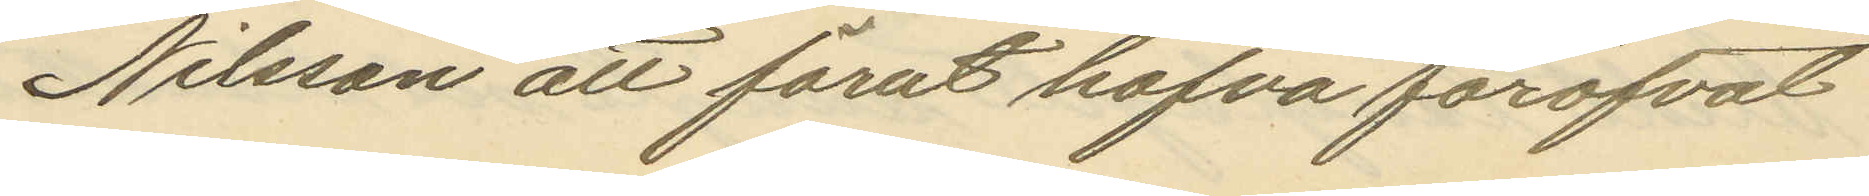Nilsson att förut hafva föröfvat
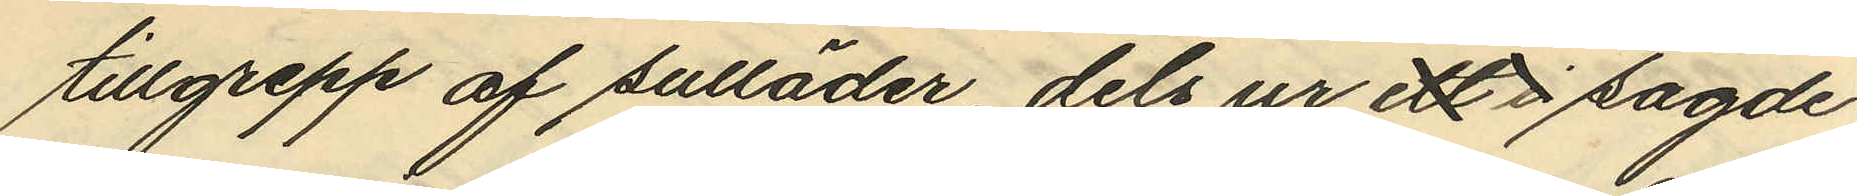tillgrepp af sulläder, dels ur ett i sagde
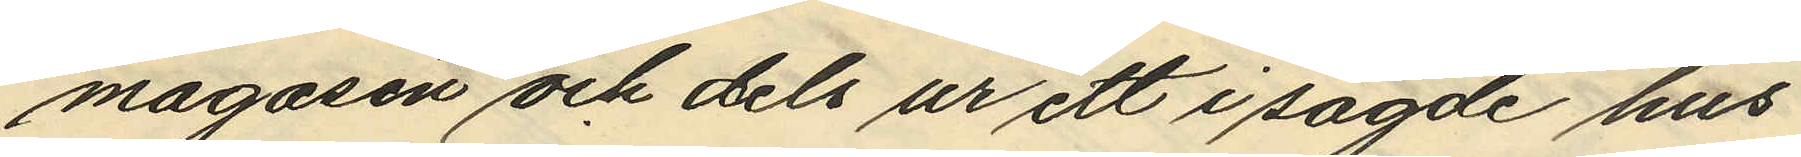magasin och dels ur ett i sagde hus
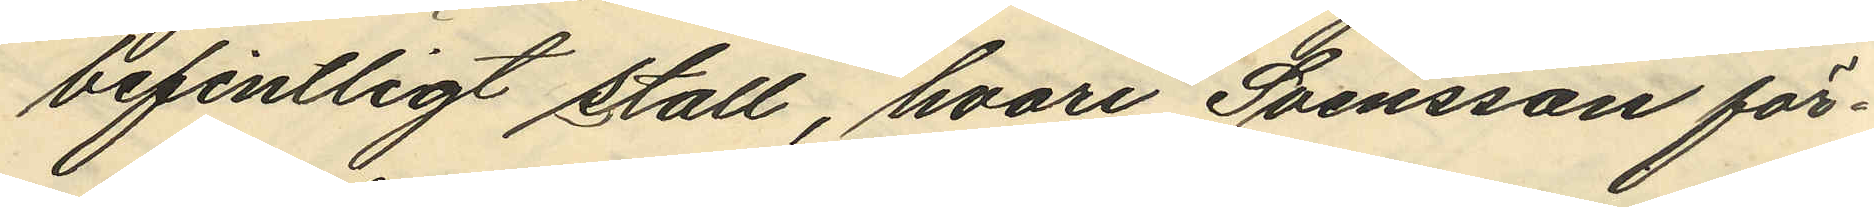befintligt stall, hvari Svensson för¬
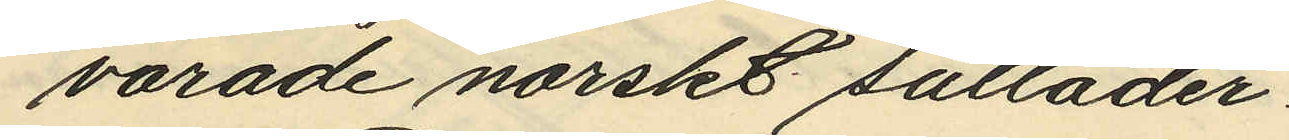varade norskt sulläder.
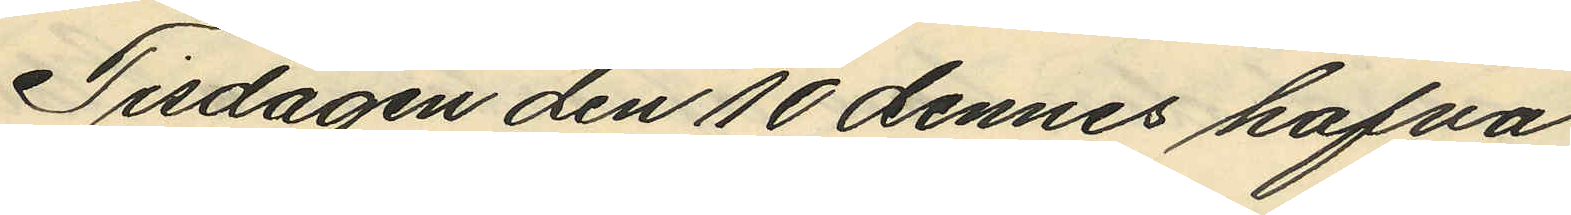Tisdagen den 10 dennes hafva
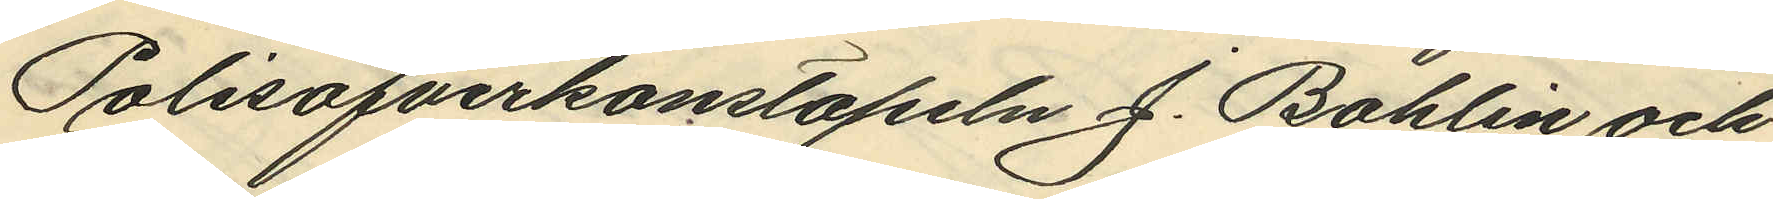Polisöfverkonstapeln J. Bohlin och
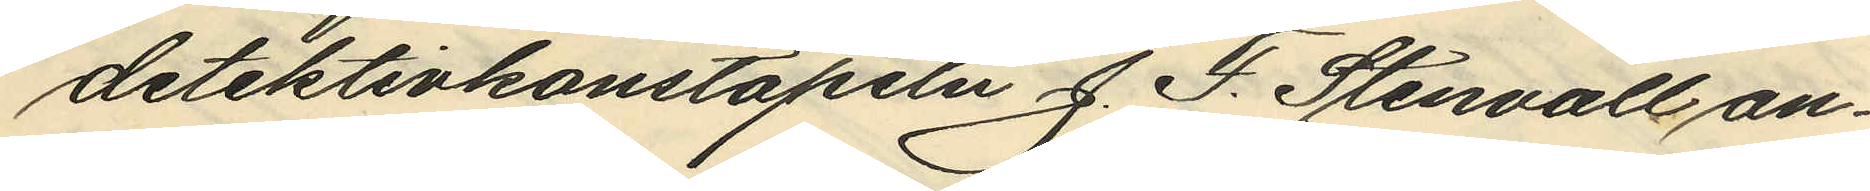detektivkonstapeln J. F. Stenvall an¬
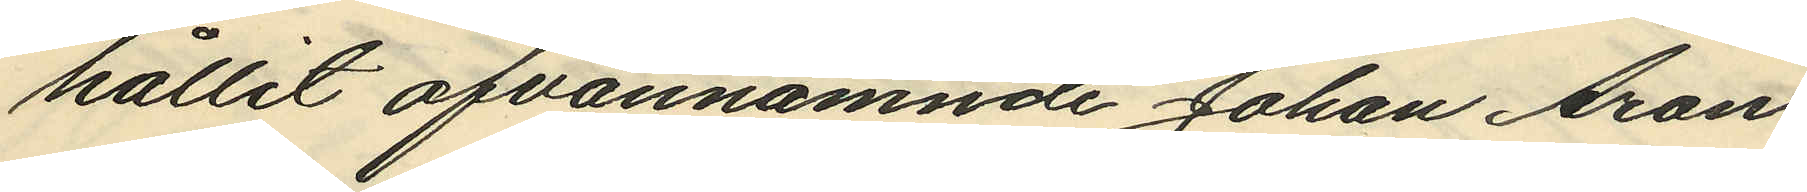hållit ofvannämnde Johan Aron
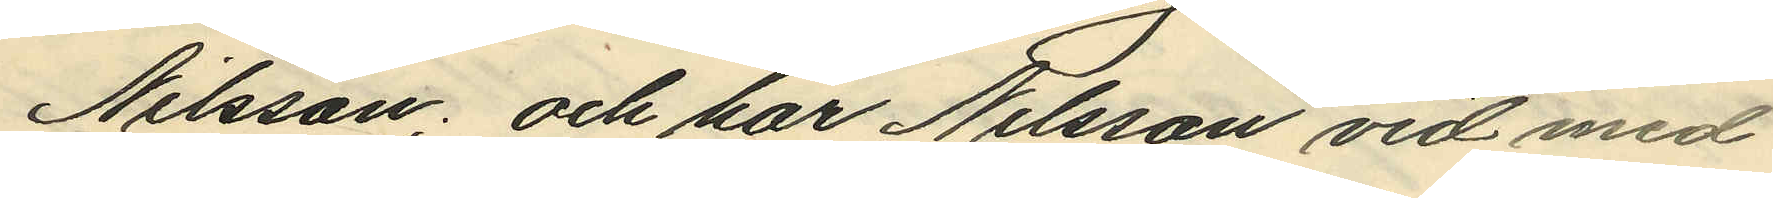Nilsson; och har Nilsson vid med
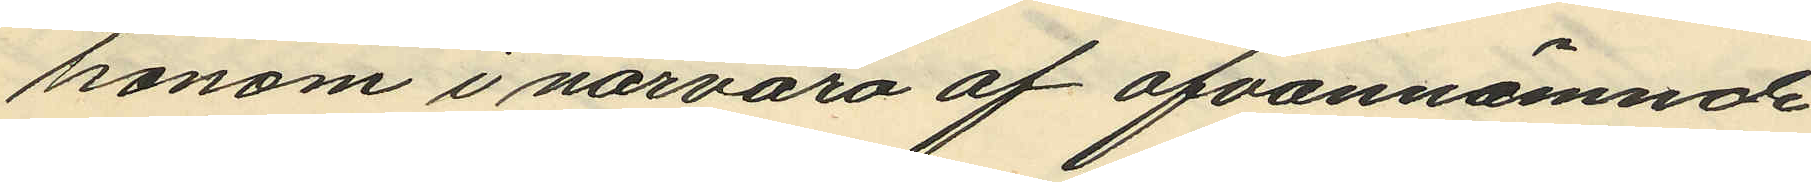honom i närvaro af ofvannämnde
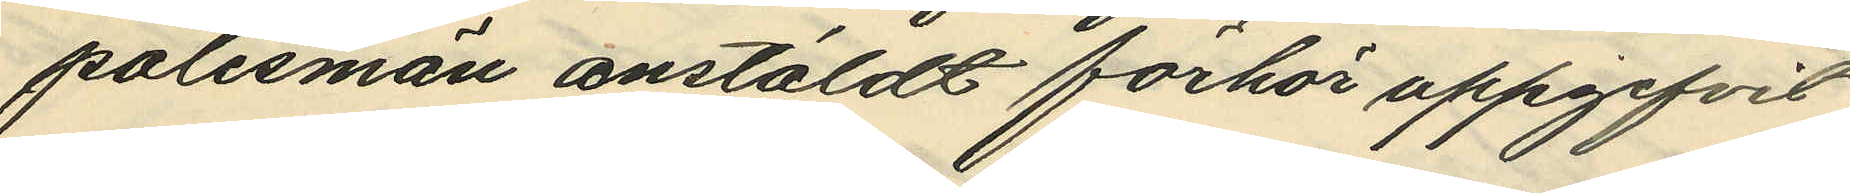polismän anstäldt förhör uppgifvit
